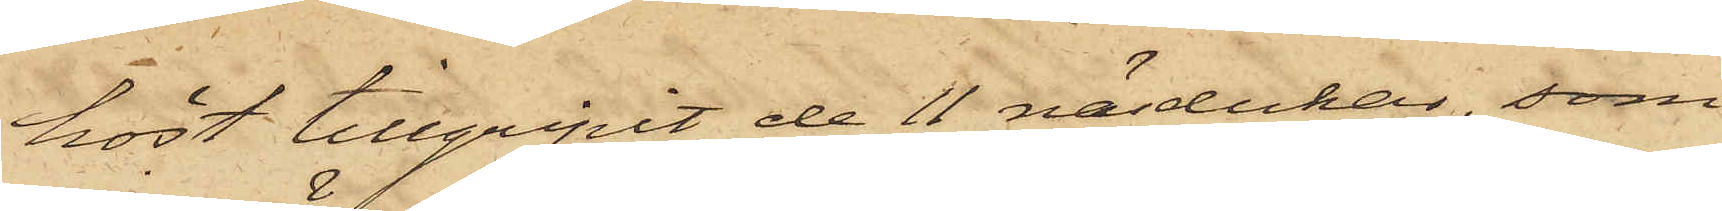höst tillgripit de 11 näsdukar, som
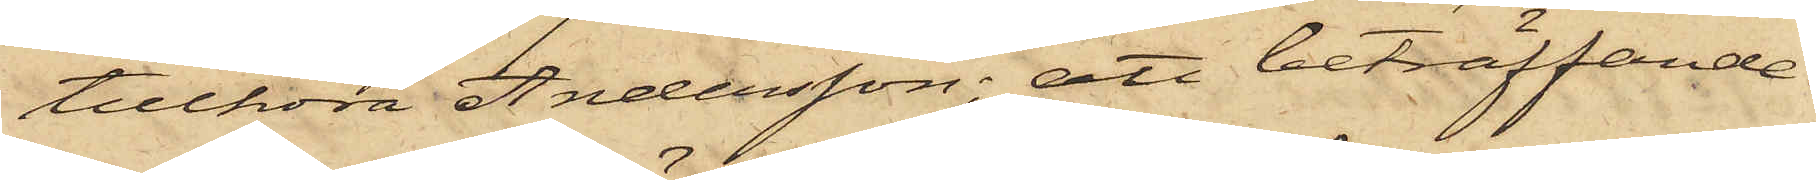tillhöra Andersson; att beträffande
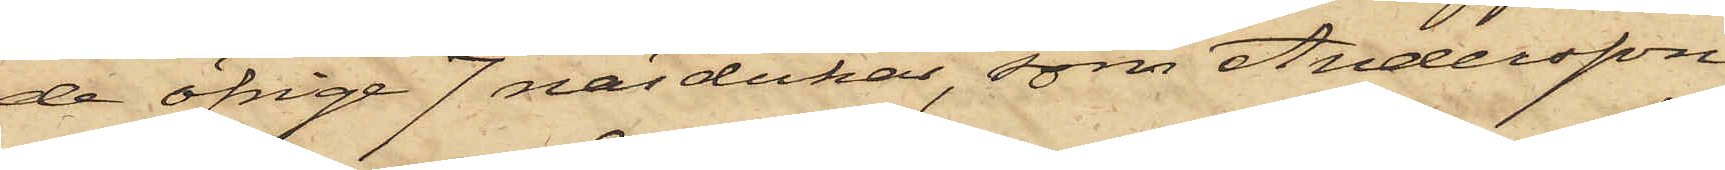de öfrige 7 näsdukar, som Andersson
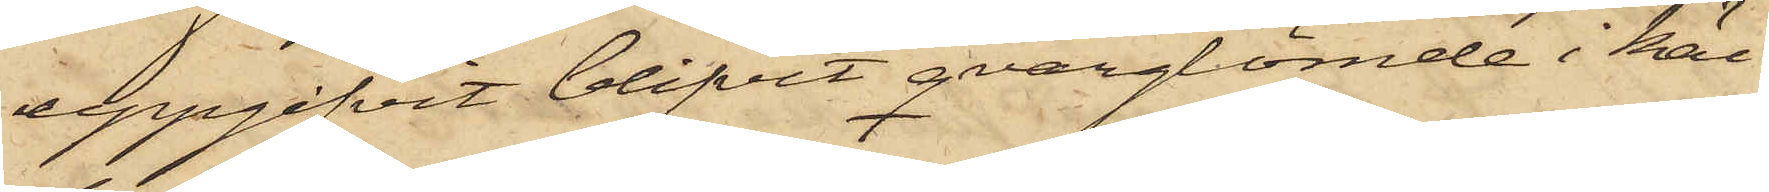uppgifvit blifvit qvarglömde i käl¬
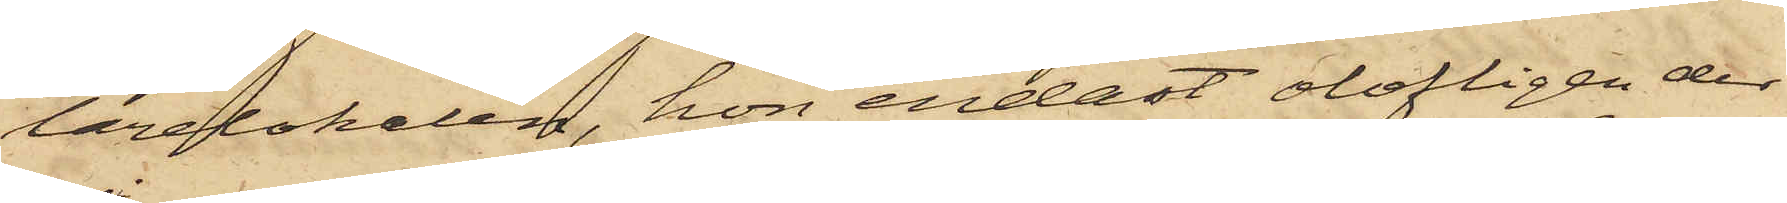larelokalen, hon endast olofligen der
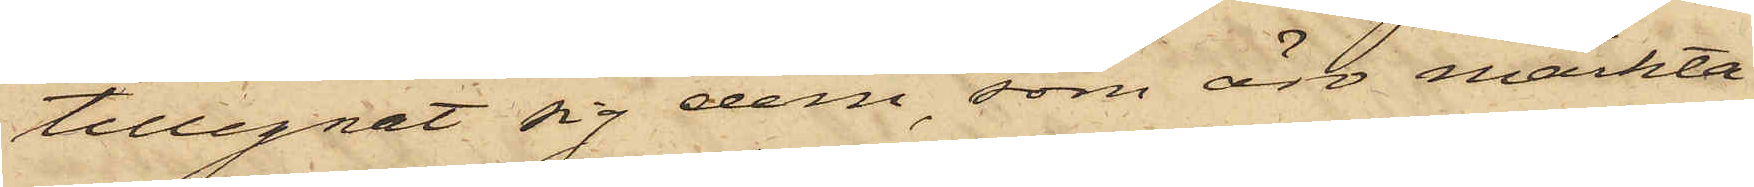tillegnat sig dem, som äro märktet
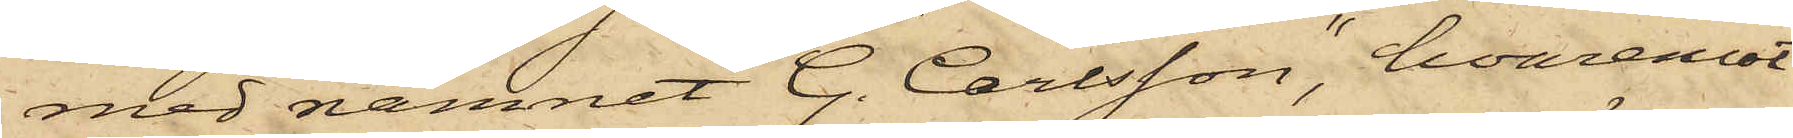med namnet "G. Carlsson", hvaremot
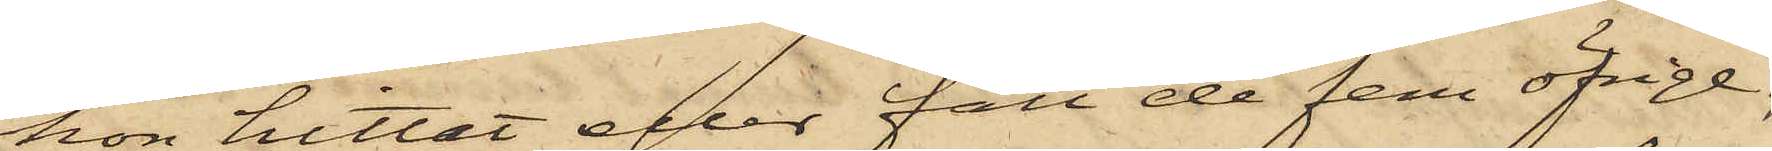hon hittat eller fått de fem öfrige;
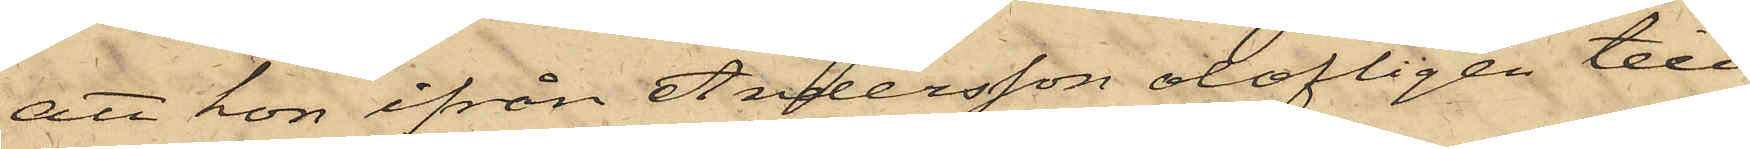att hon ifrån Andersson olofligen till¬
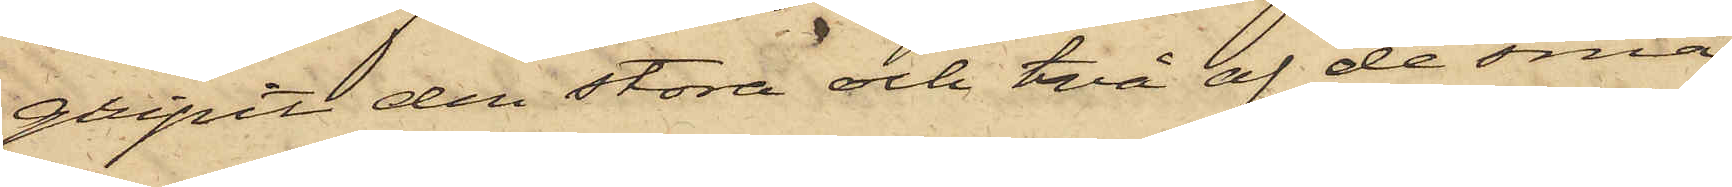gripit den stora och två af de små
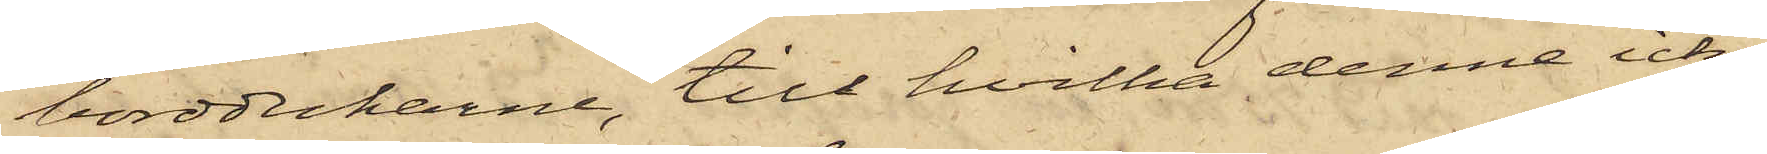borddukarne, till hvilka denne icke
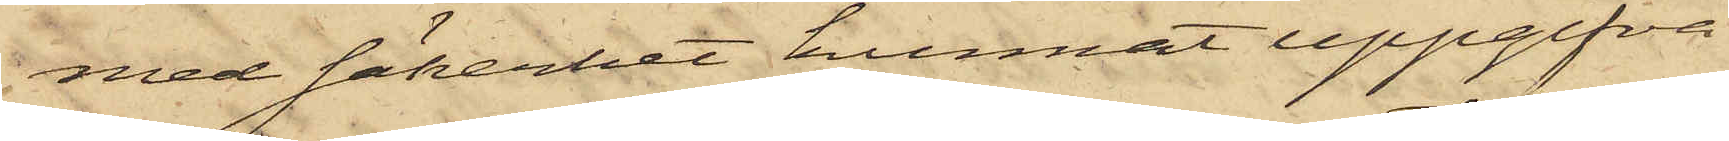med säkerhet kunnat uppgifva
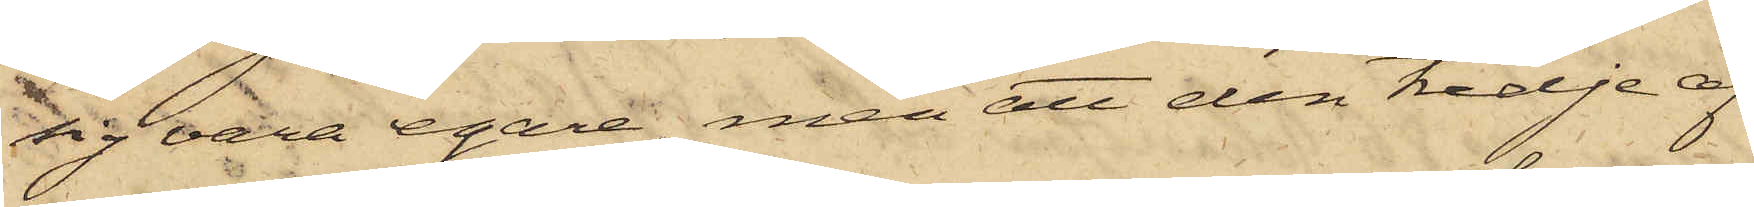sig vara egare, men att den tredje af
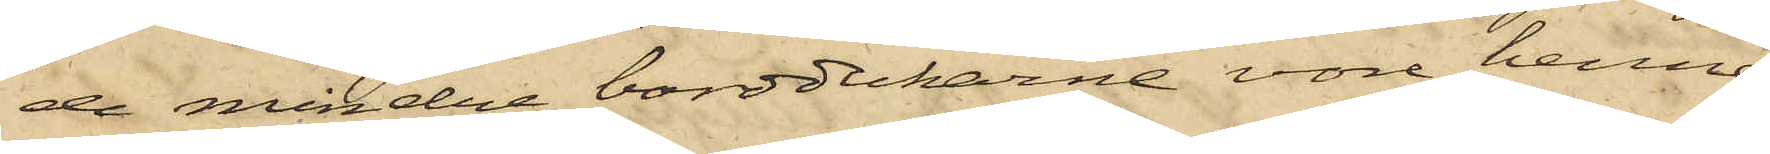de mindre borddukarne vore henne
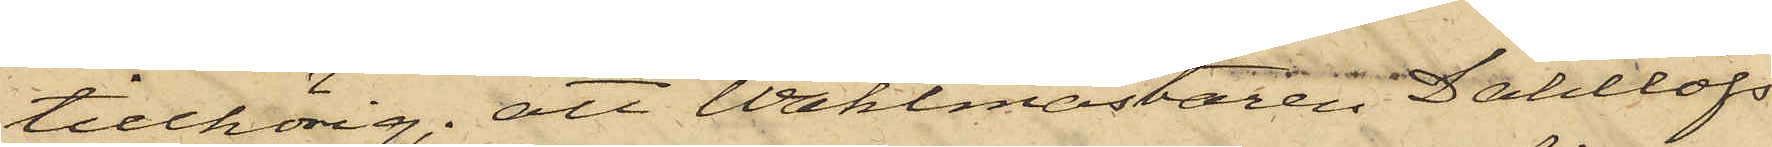tillhörig; att Waktmästaren Dahllöfs
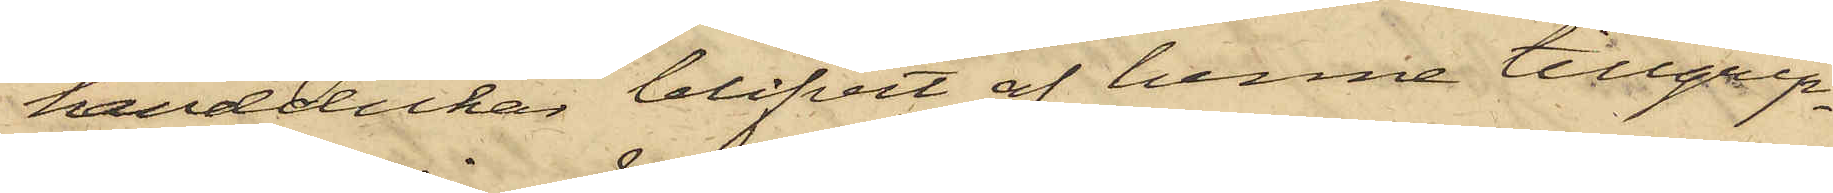handdukar blifvit af henne tillgrip¬
